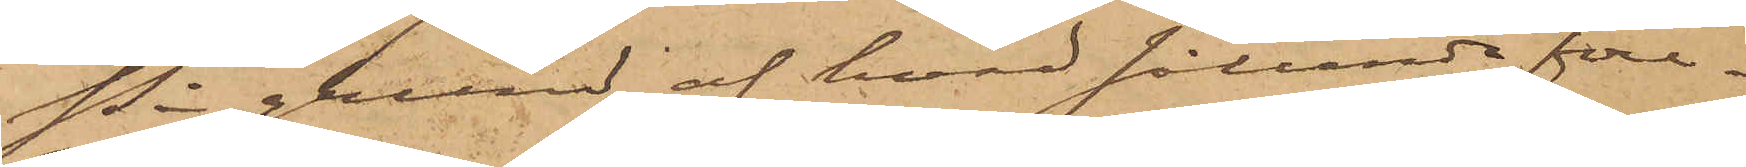På grund af hvad sålunda före¬
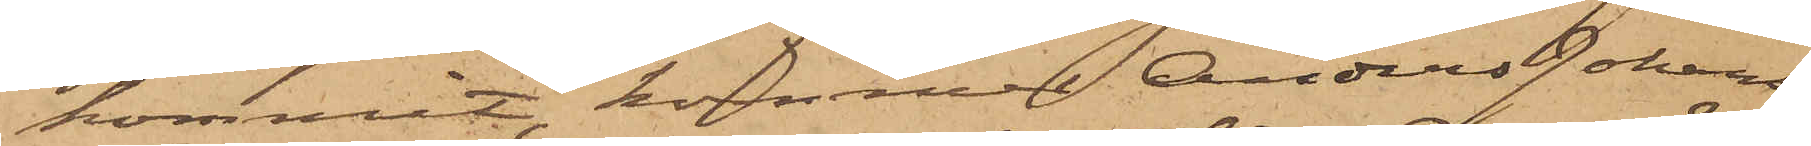kommit, kommer Anders Johans¬
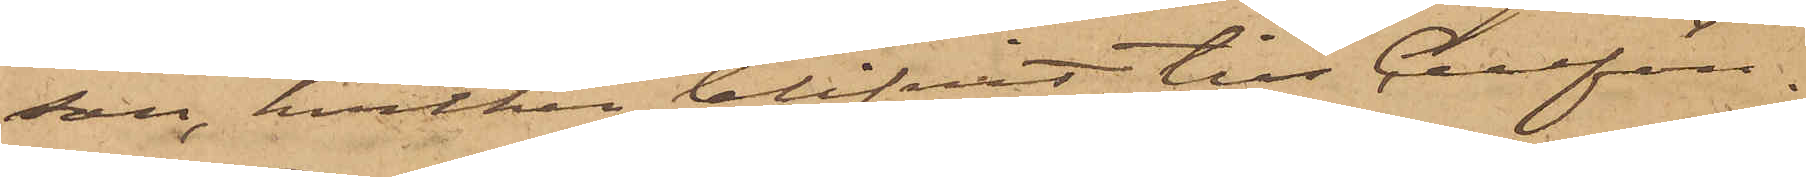son, hvilken blifvit till Cellfän¬
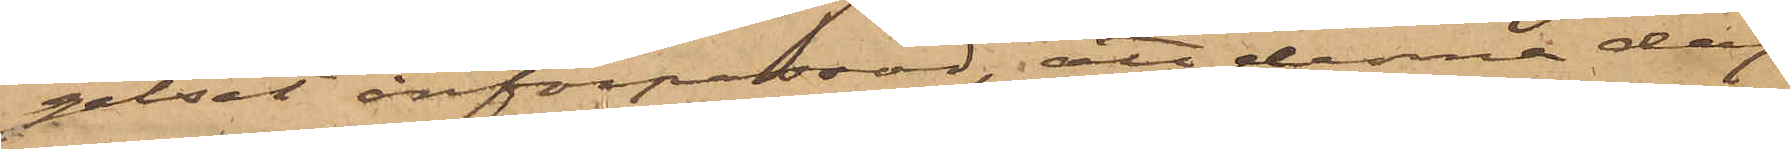gelset införpassad, att denna dag
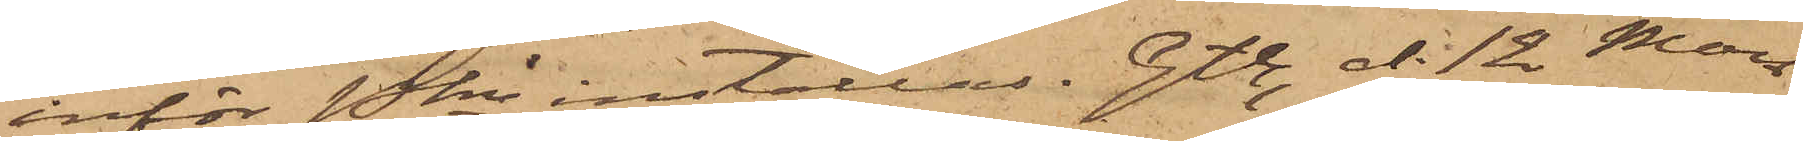inför Pkn inställas. Gtbg d. 12 Mars
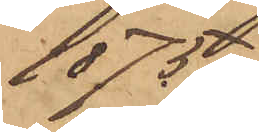1875.
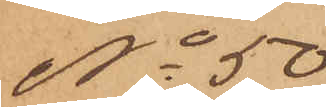No 50
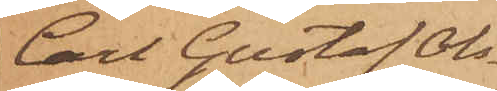Carl Gustaf Ols¬
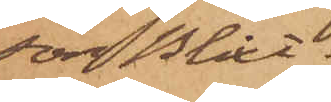son Blixt.
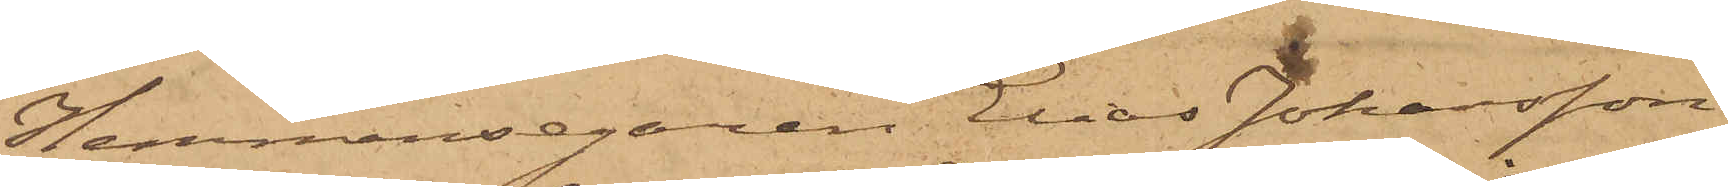Hemmansegaren Elias Johansson
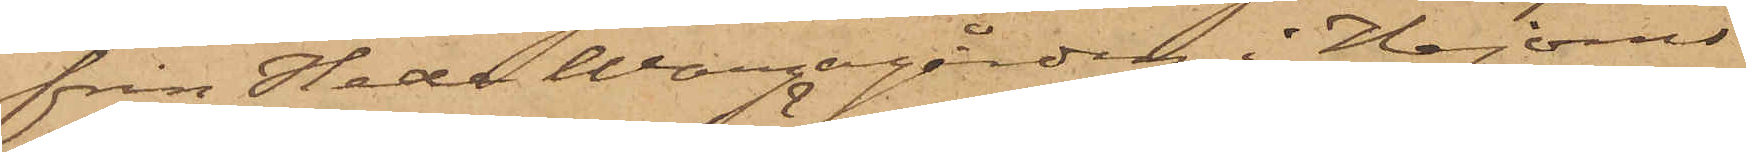från Hede Wongagården i Hajoms
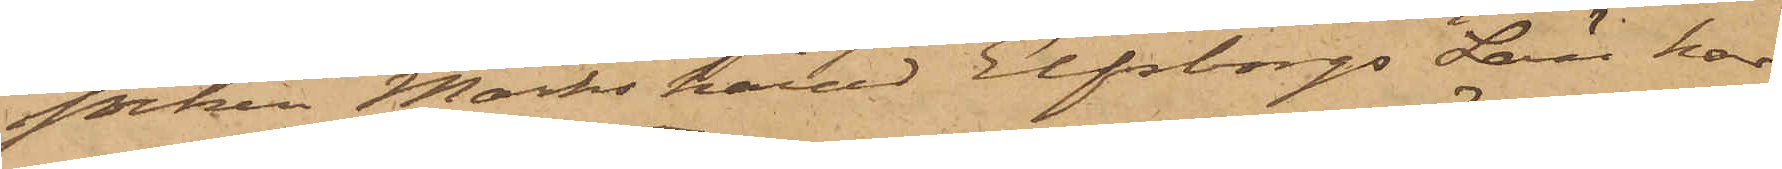socken Marks härad Elfsborgs Län har
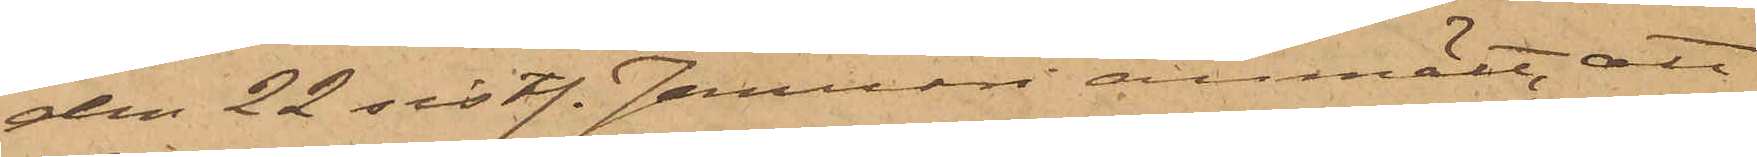den 22 sistl. Januari anmält, att
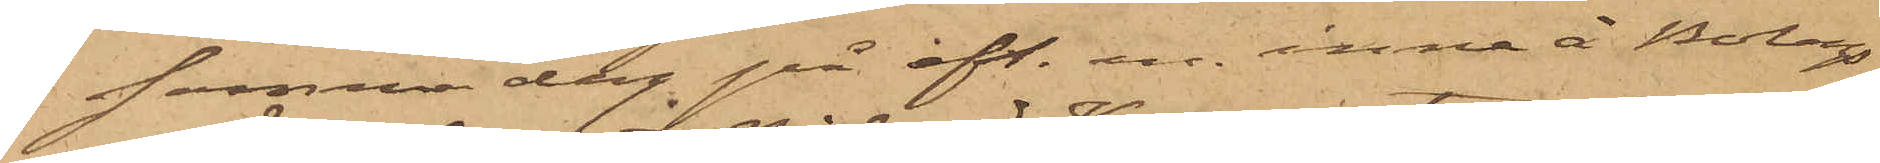samma dag på eft. m. inne å Bolags¬
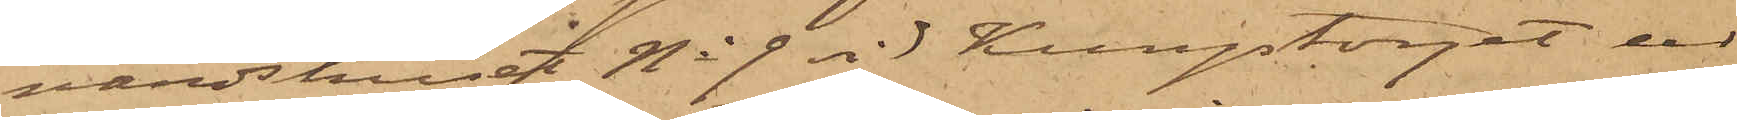värdshuset No 9 vid Kungstorget ur
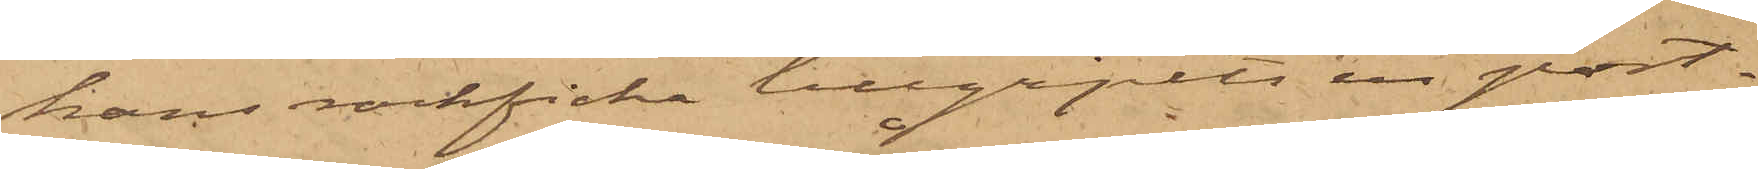hans rockficka tillgripits en port¬
